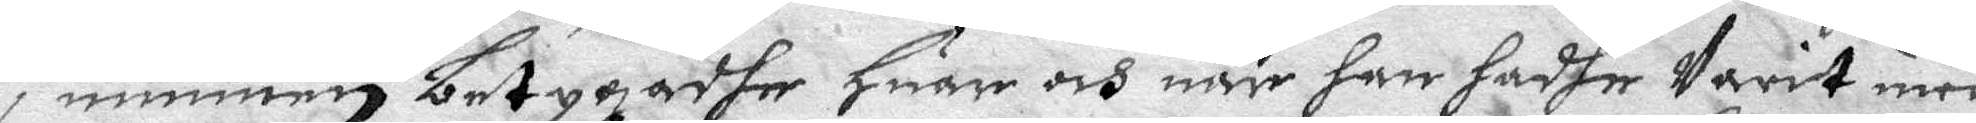i munnen betygadhe Huar och när han hadhe warit med
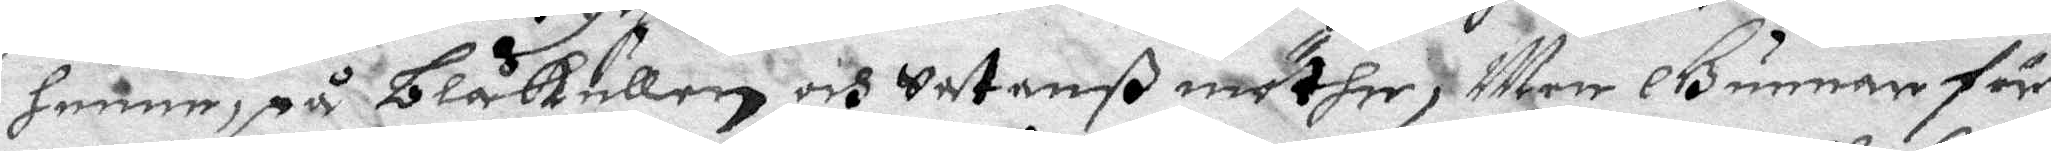henne, på Blåkullen och Satanß möther; Men Gunnar för¬
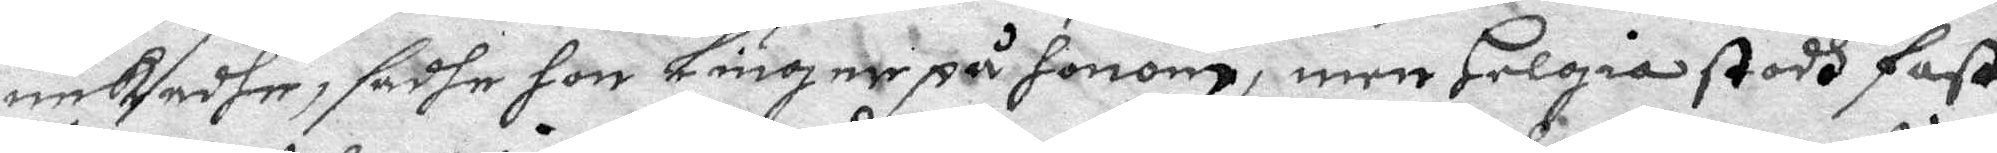nekadhe, sadhe hon Liuger på honom, men Helgia stodh fast
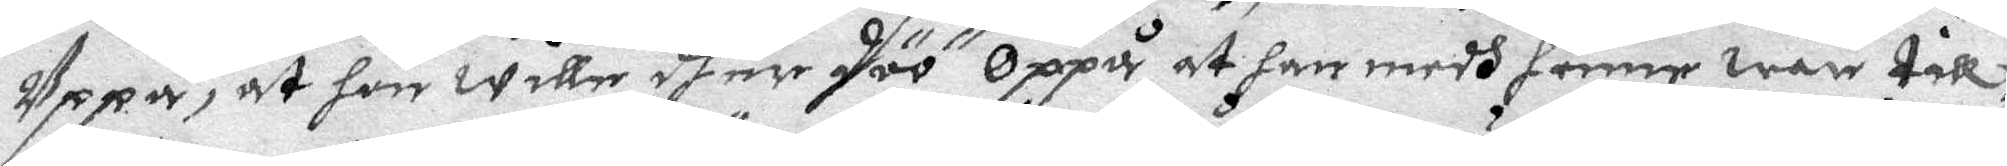Uppå, at hon wille dher döö Oppå at han medh henne ware till¬
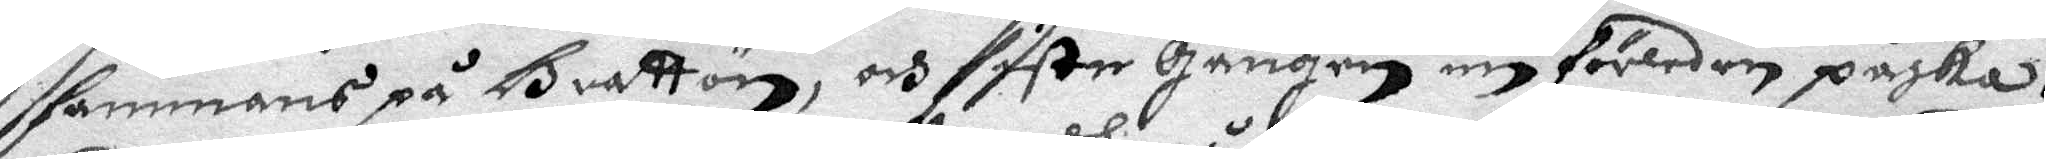sammans på Brattön, och siste gången nu förleden påska.
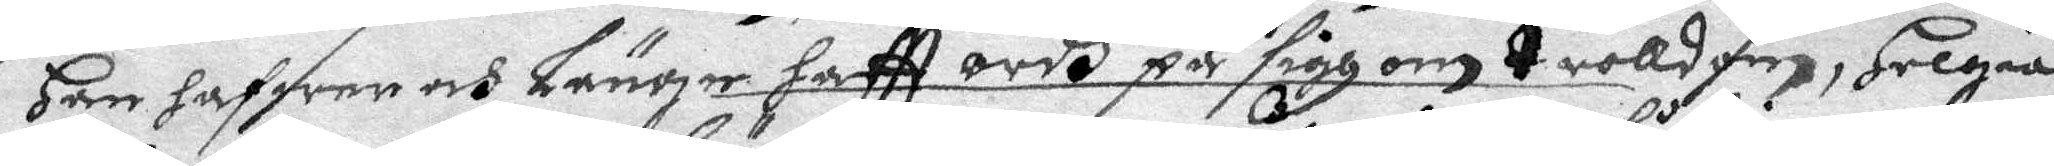Han hafwer och Länge haftt ordh på sigh om trolldom, Helgia
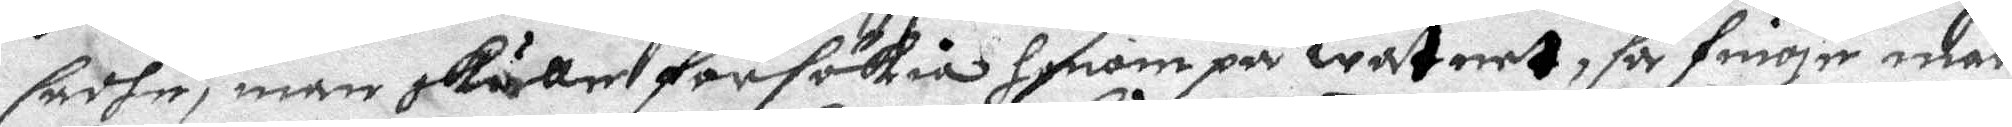sadhe, man skuller försökia honom på watnet, så finger mar
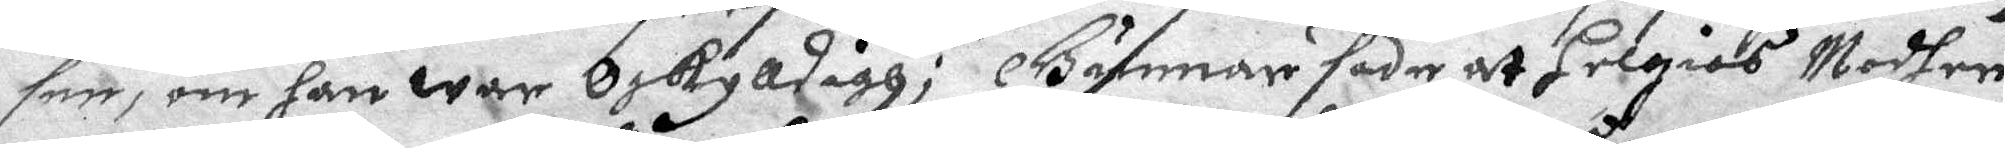see, om han war Oskylldigh; Gunnar sade at Helgias Modher
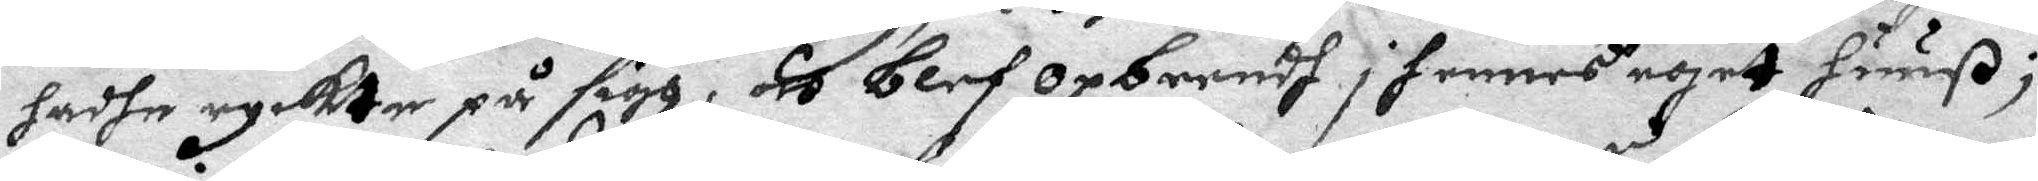hadhe ryckte på sigh, och blef opbrendh i hennes egett huuß;
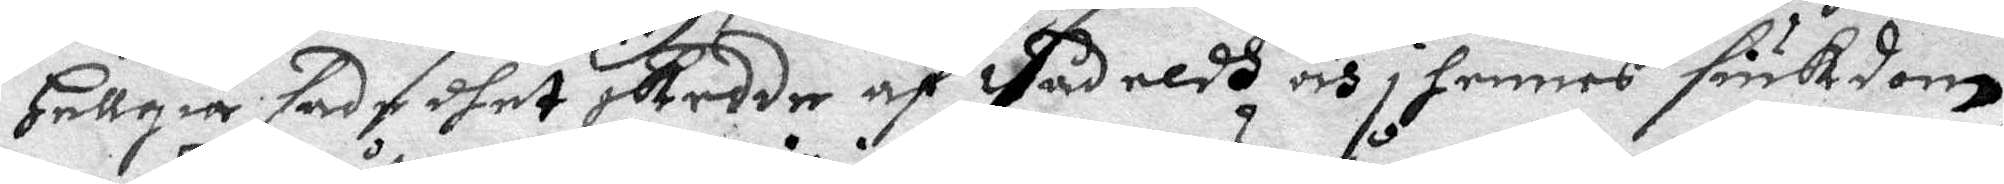Hellgia sade dhet skedde af Vådeldh och i hennes siukdom,
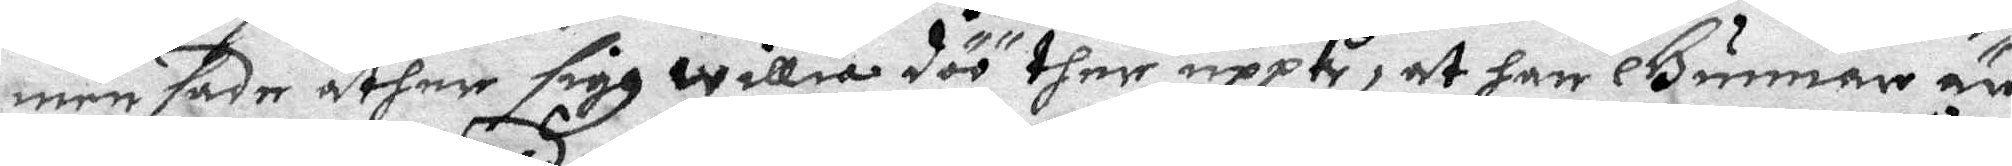men sade åther sigh willia döö ther uppå, at han Gunnar är
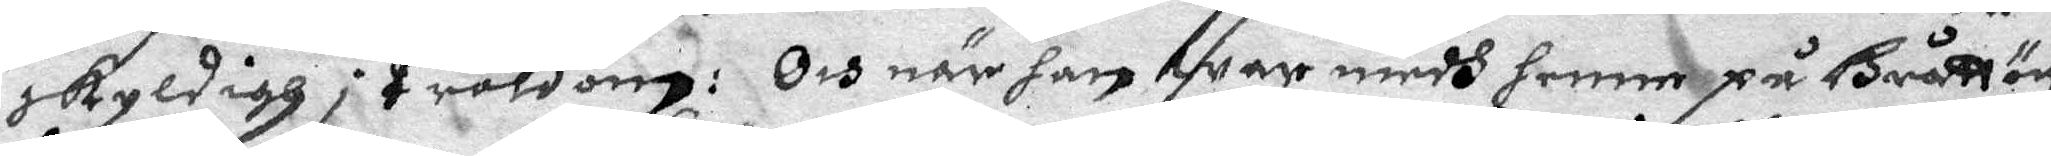skyldigh i troldom: Och när han war medh henne på Bråttön
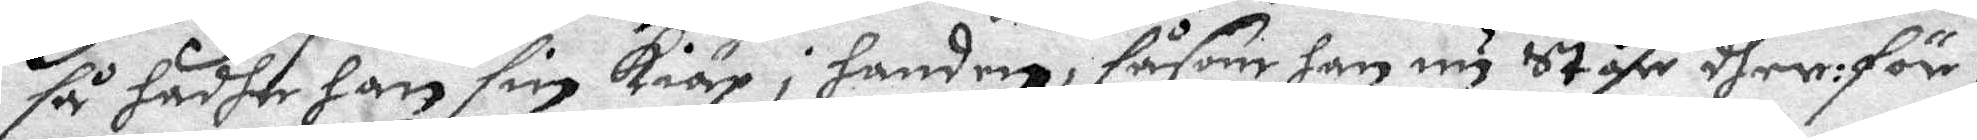så hadhe han sin kiäp i handen, såsom han nu Ståhr dher: för:
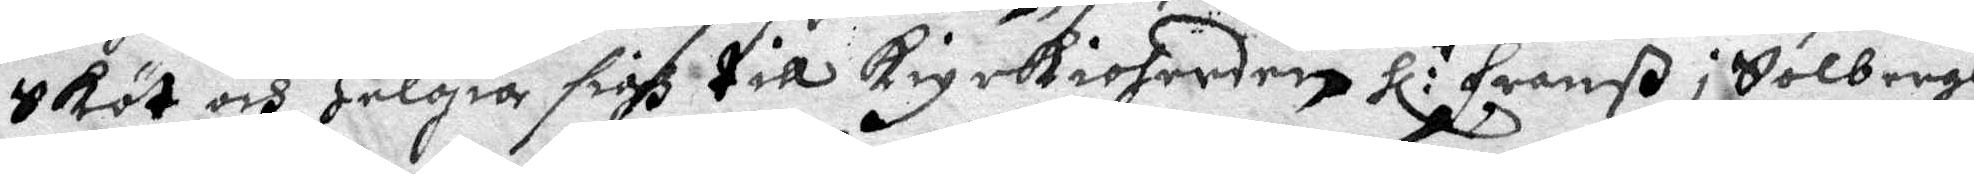Sköt och Helgia sigh till kiyrkioherden Hr:r Franß i Solbergh 
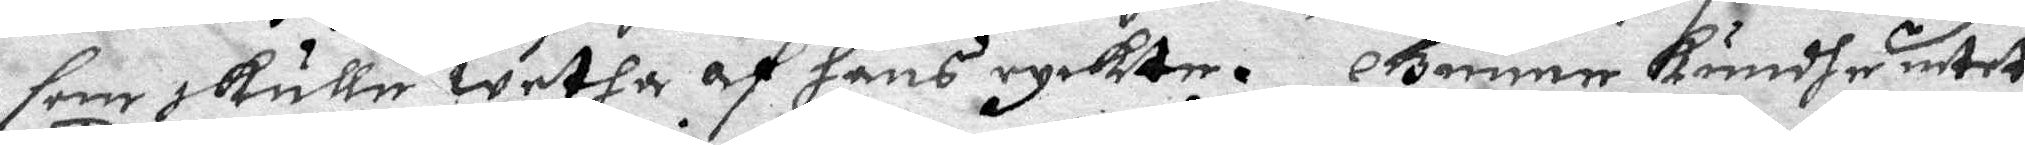som skulle wetha af hans ryckte. Gunner Kundhe intet
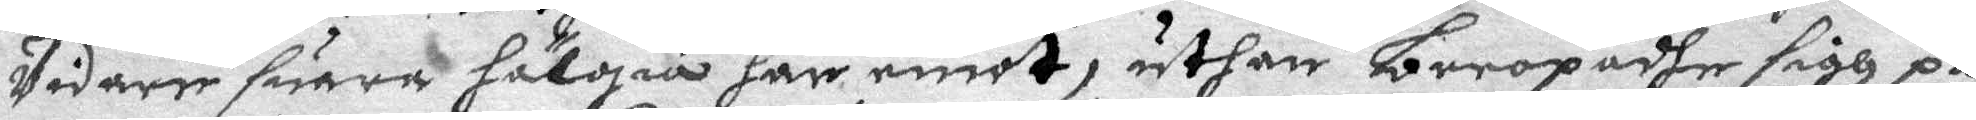Vidare suara hälgia här emot, uthan beropadhe sigh på
